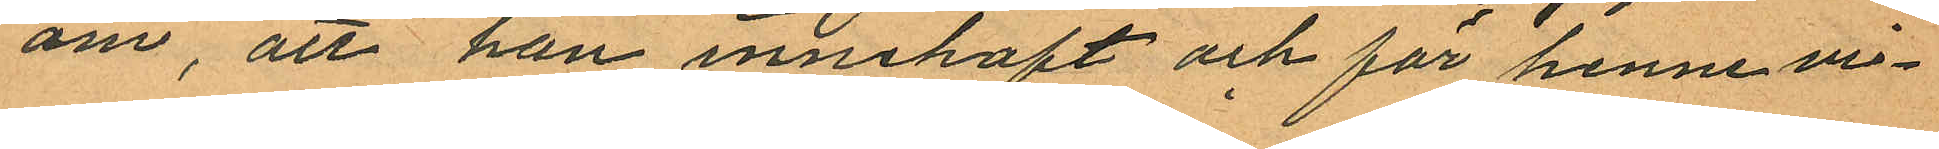om, att han innehaft och för henne vi¬
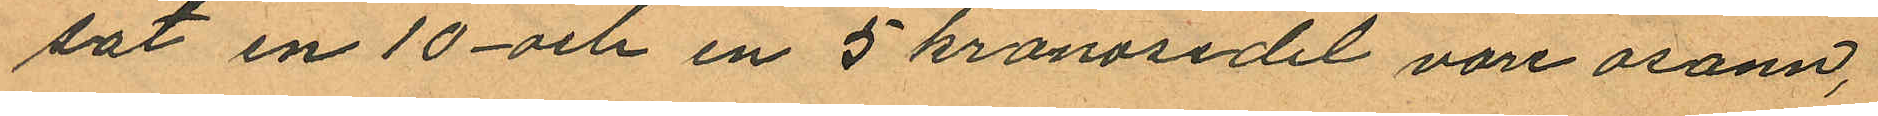sat en 10- och en 5 kronosedel vore osann,
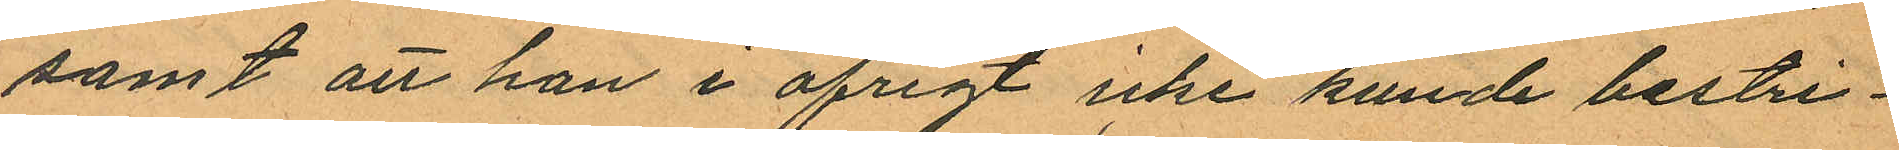samt att han i öfrigt icke kunde bestri¬
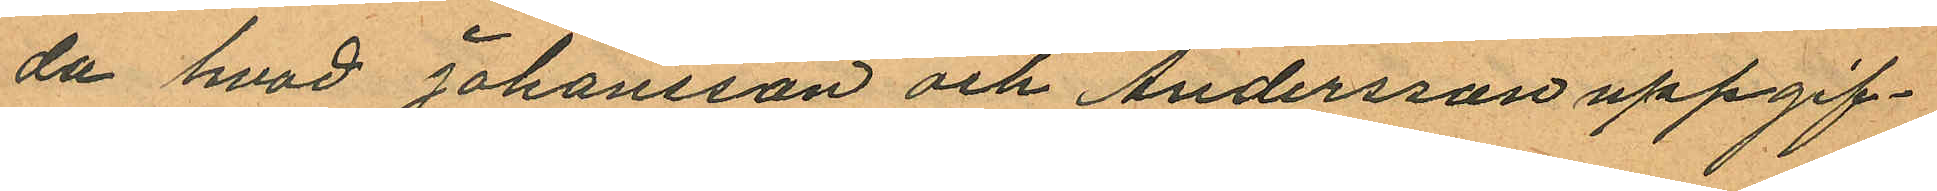da hvad Johansson och Andersson uppgif¬
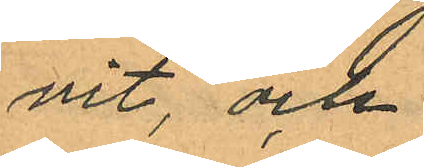vit, och
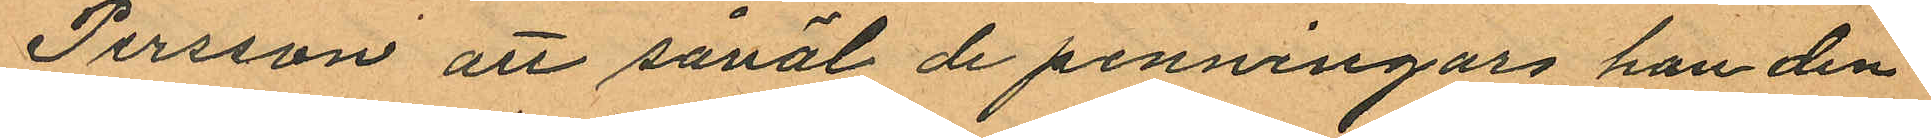Persson att såväl de penningar han den
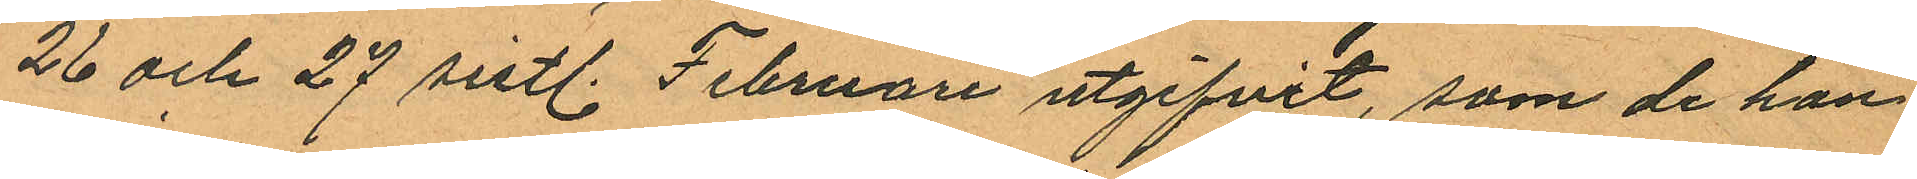26 och 27 sistl. Februari utgifvit, som de han
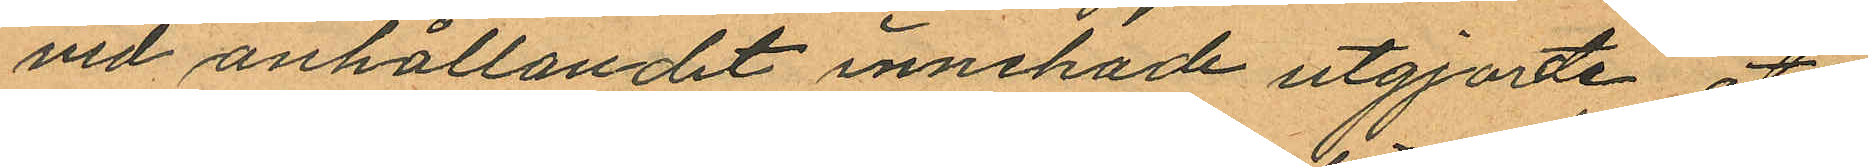vid anhållandet innehade utgjorde åter
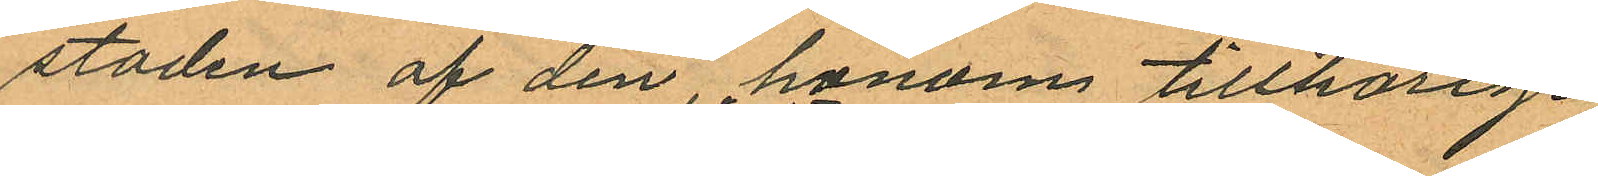stoden af den honom tillhörige
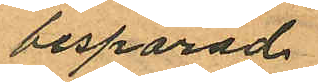besparad
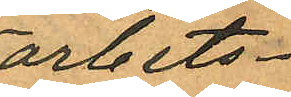arbets¬
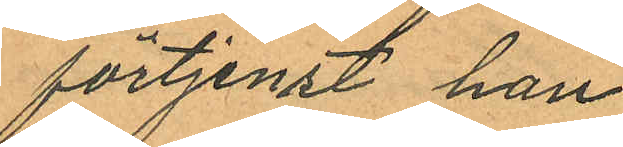förtjenst han
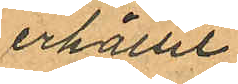erhållit
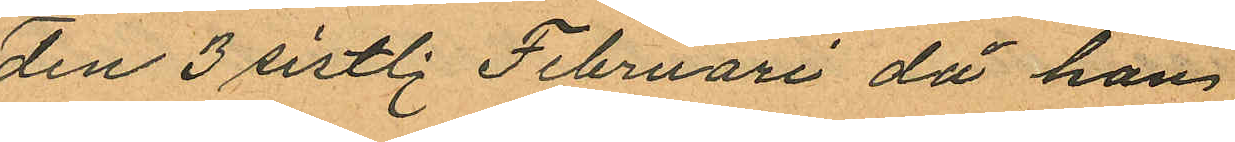den 3 sistl. Februari då han
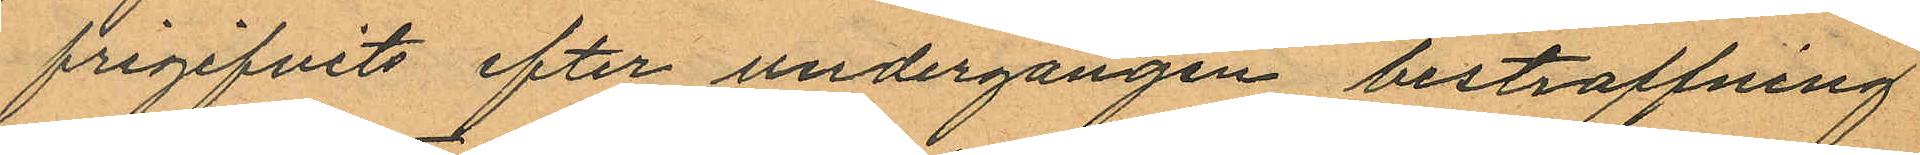frigifvits efter undergången bestraffning
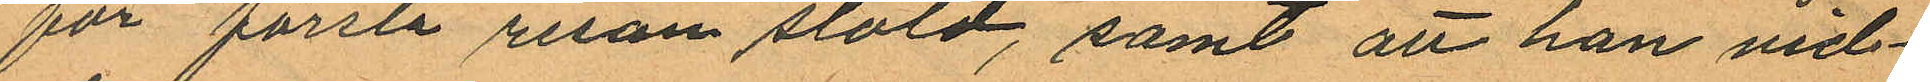för första resan stöld, samt att han vid¬
